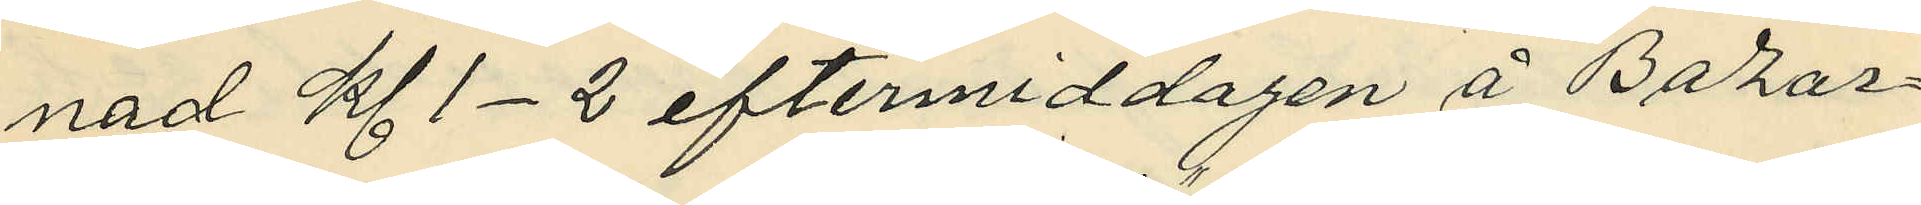nad kl. 1-2 eftermiddagen å Bazar¬
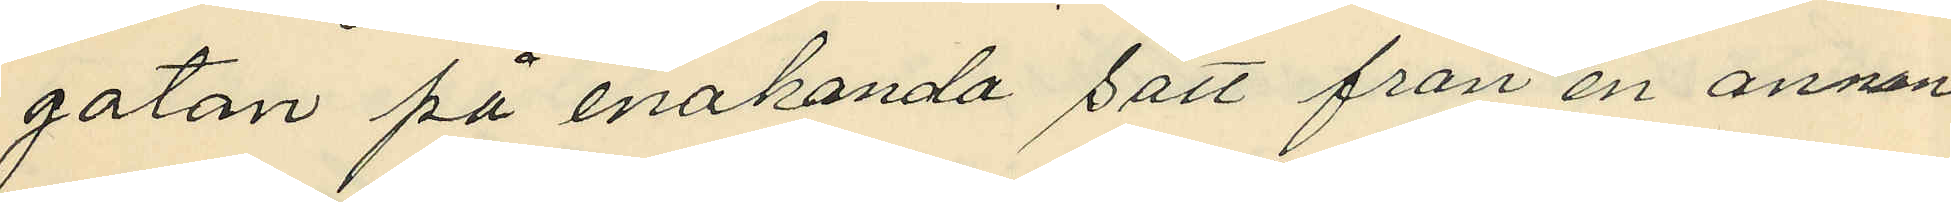gatan på enahanda sätt från en annan
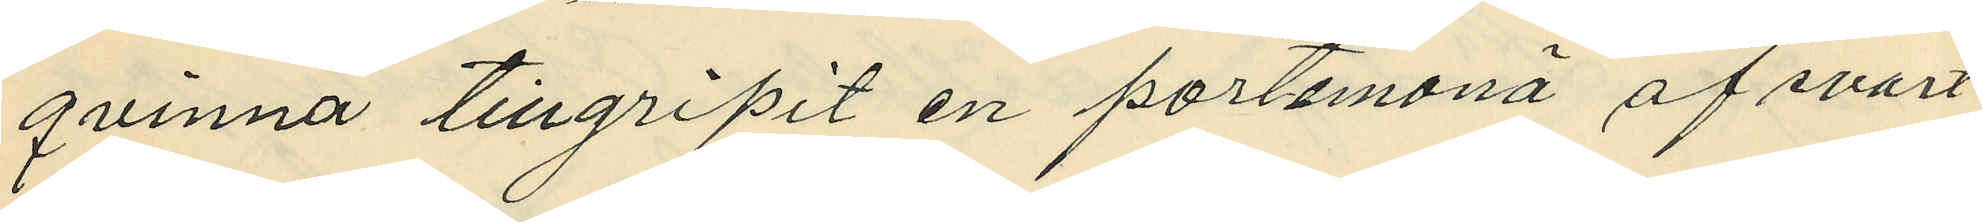qvinna tillgripit en portemonä af svart
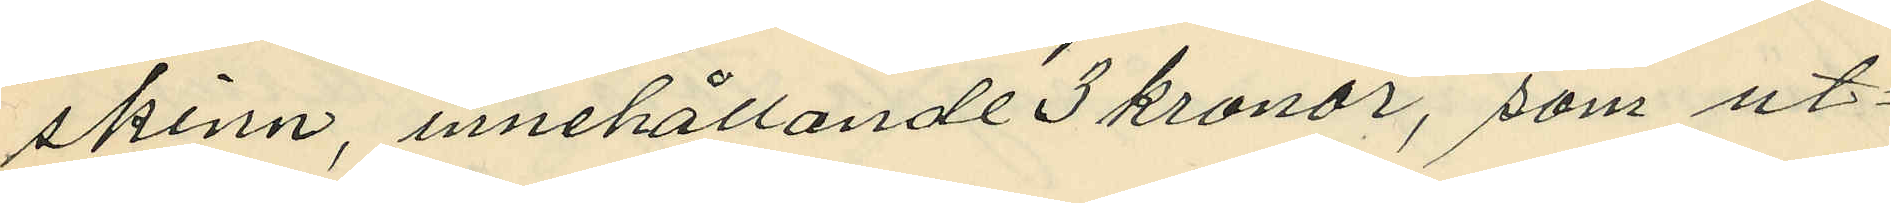skinn, innehållande 3 kronor, som ut¬
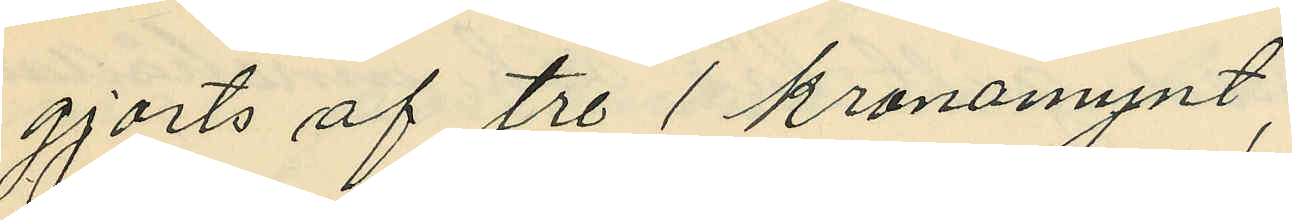gjorts af tre 1 kronomynt;
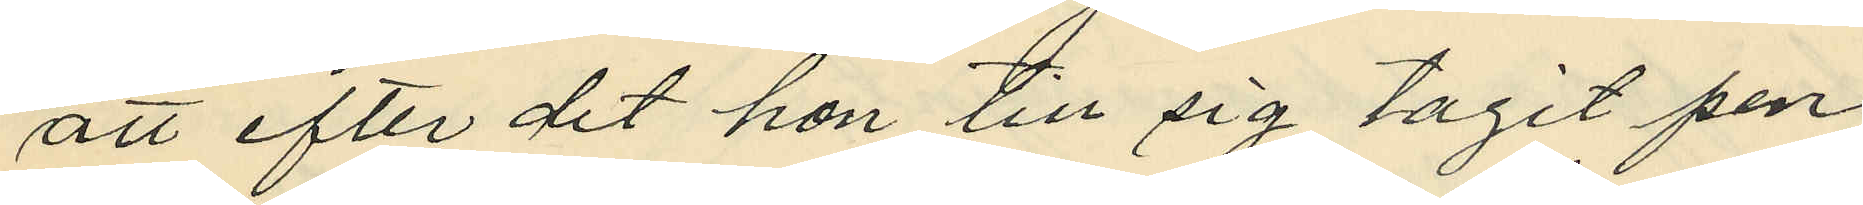att efter det hon till sig tagit pen¬
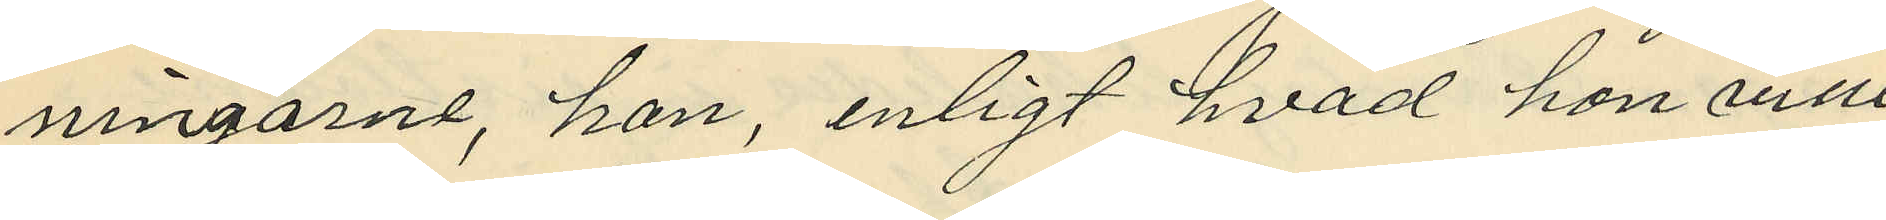ningarne, hon, enligt hvad hon ville
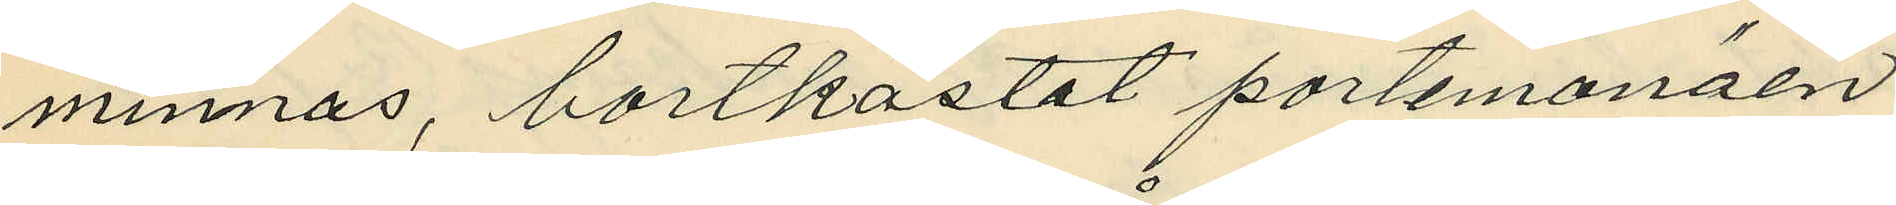minnas, bortkastat portemonäen
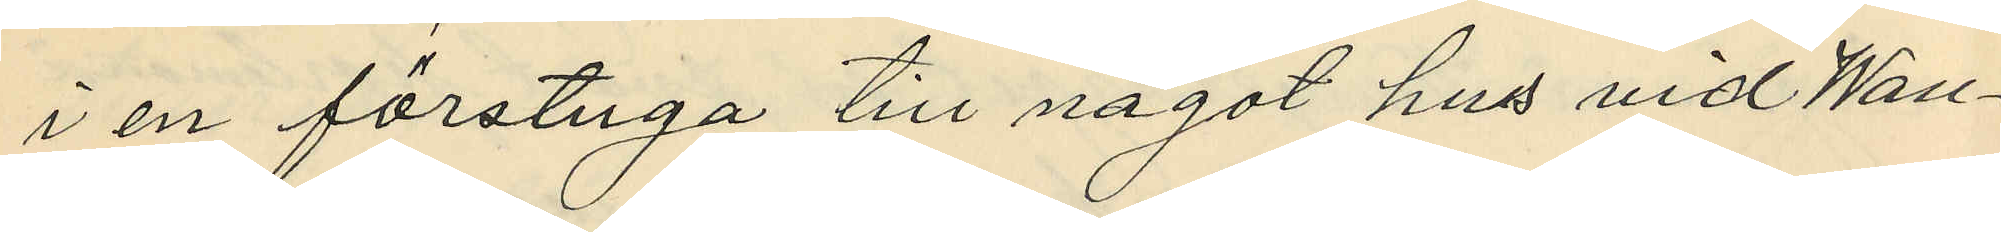i en förstuga till något hus vid Wall¬
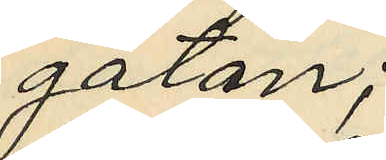gatan;
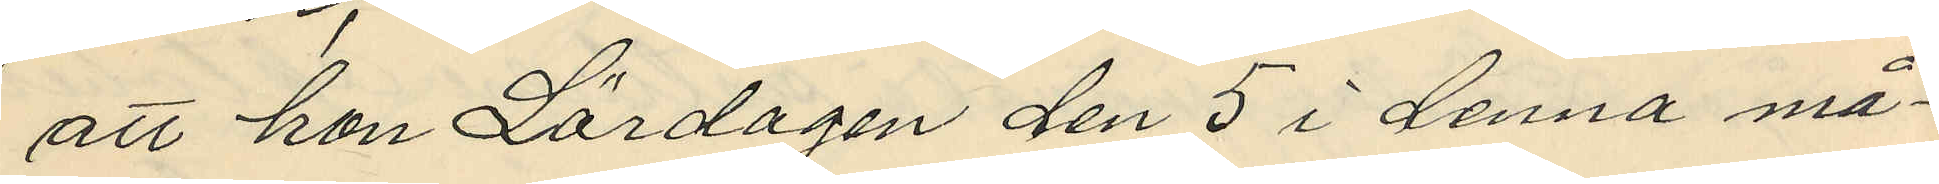att hon Lördagen den 5 i denna må¬
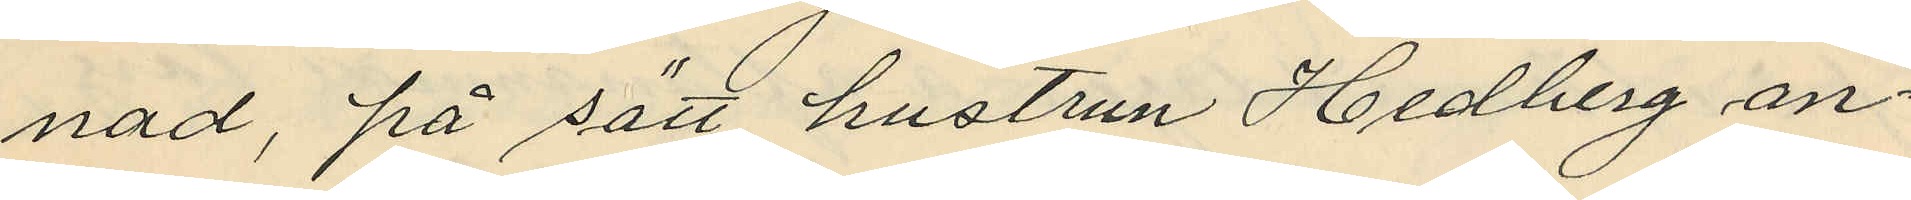nad, på sätt hustrun Hedberg an¬
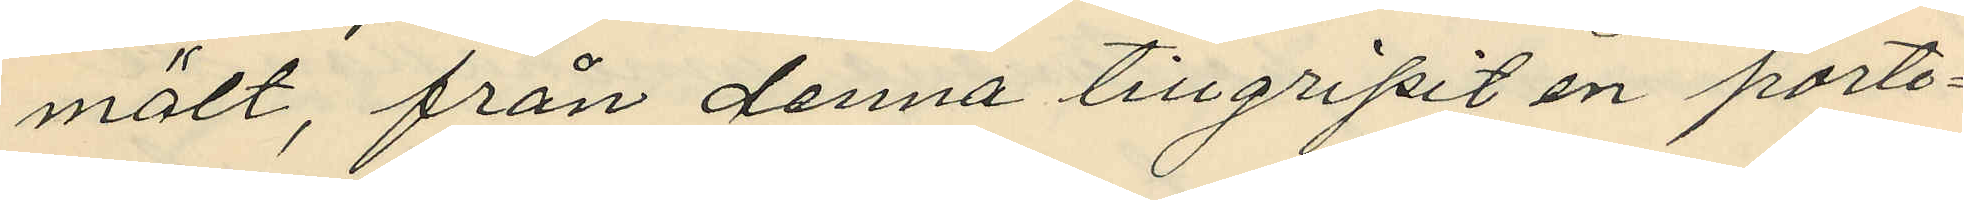mält, från denna tillgripit en porte¬
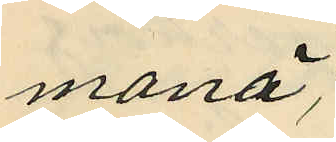monä;
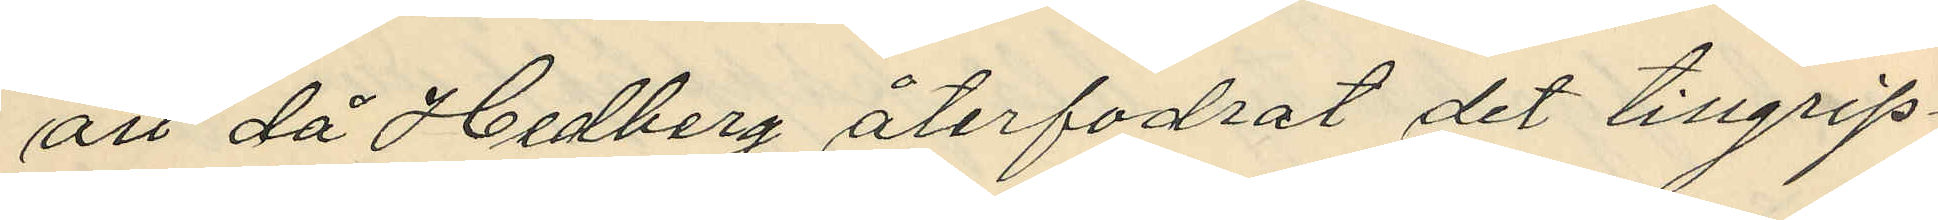att då Hedberg återfodrat det tillgrip¬
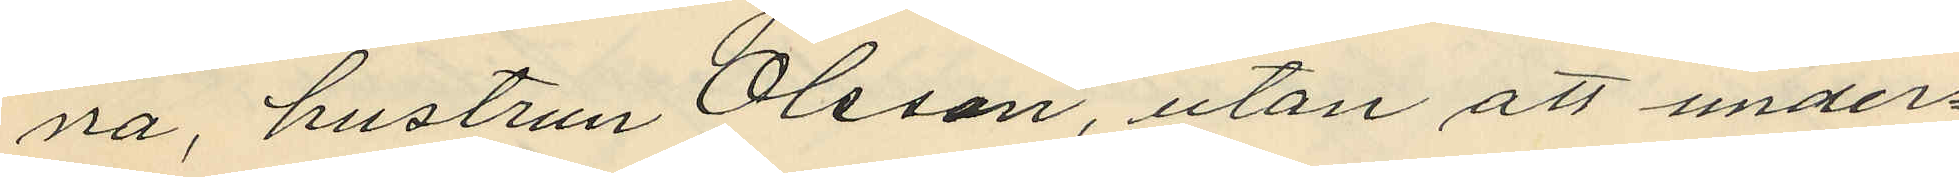na, hustrun Olsson, utan att under¬
